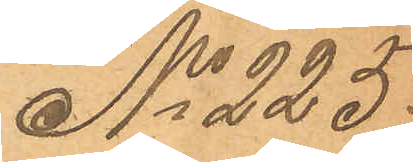No 225.
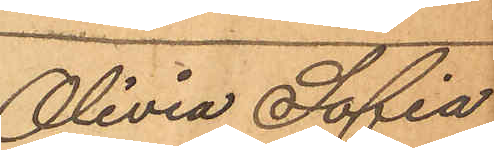Olivia Sofia
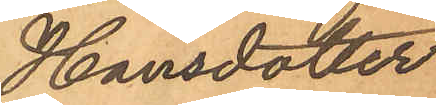Hansdotter.
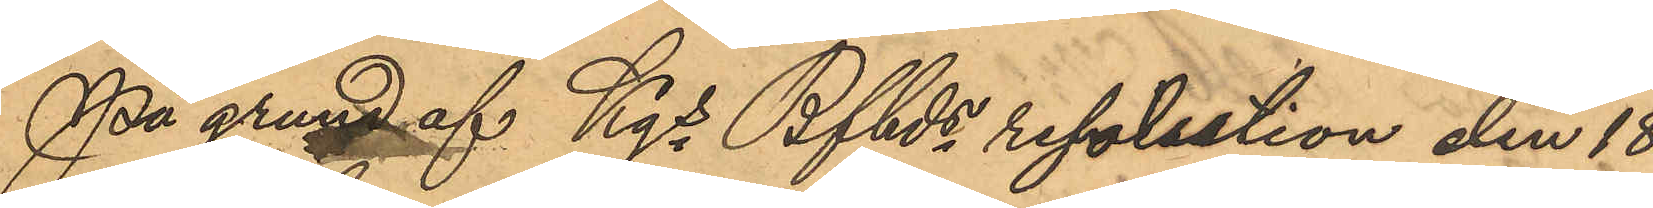På grund af Kgs Bfhds resolution den 18
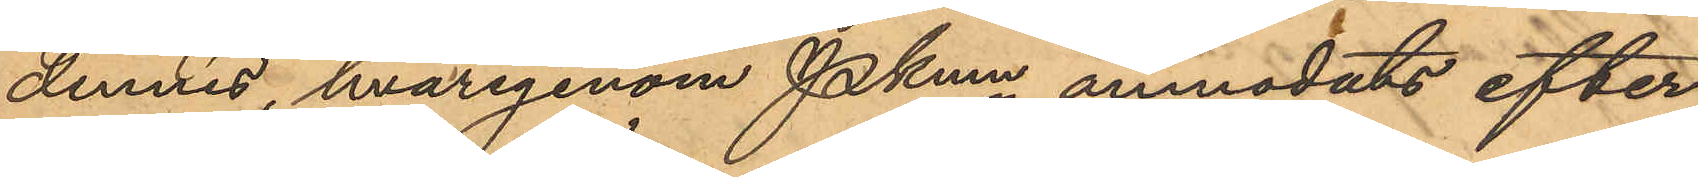dennes, hvarigenom Pkmn anmodats efter¬
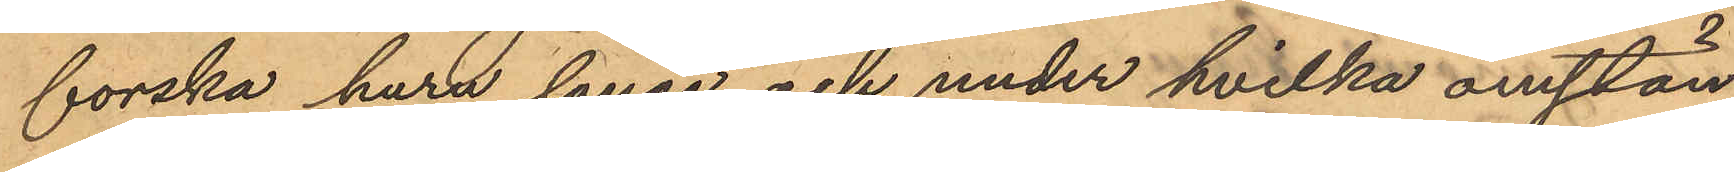forska huru länge och under hvilka omstän¬
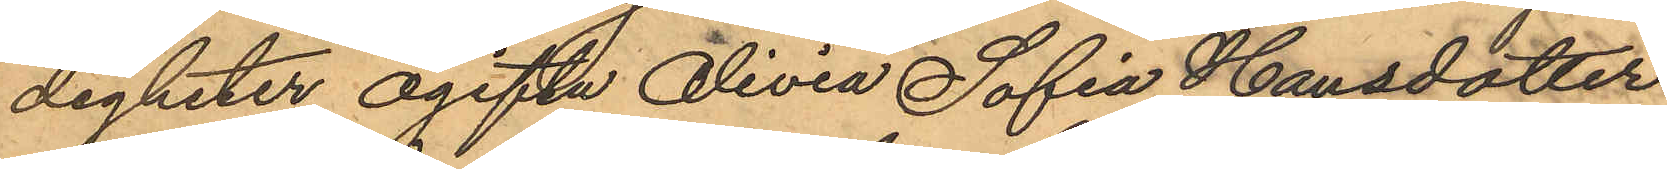digheter ogifta Olivia Sofia Hansdotter
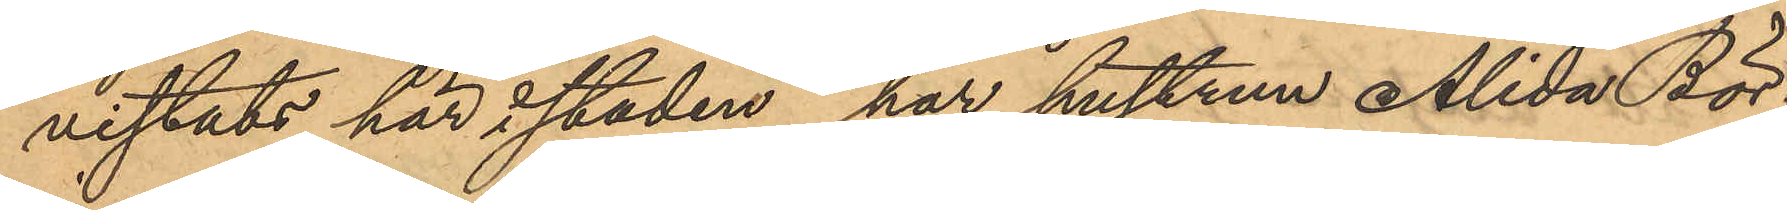vistats här i staden, har hustrun Alida Bör¬
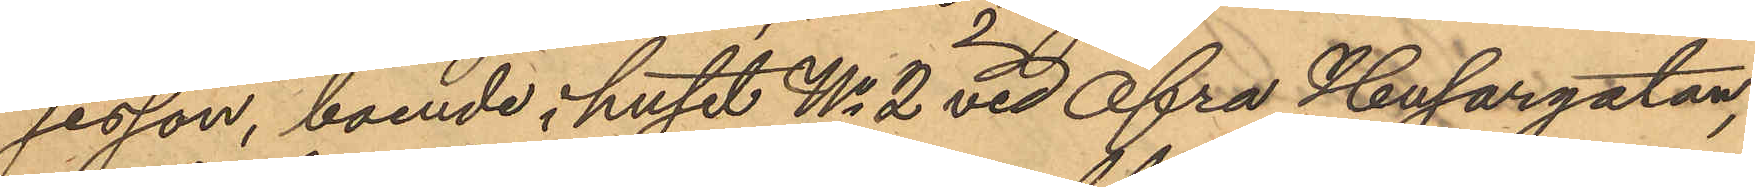jesson, boende i huset No 2 vid Öfra Husargatan,
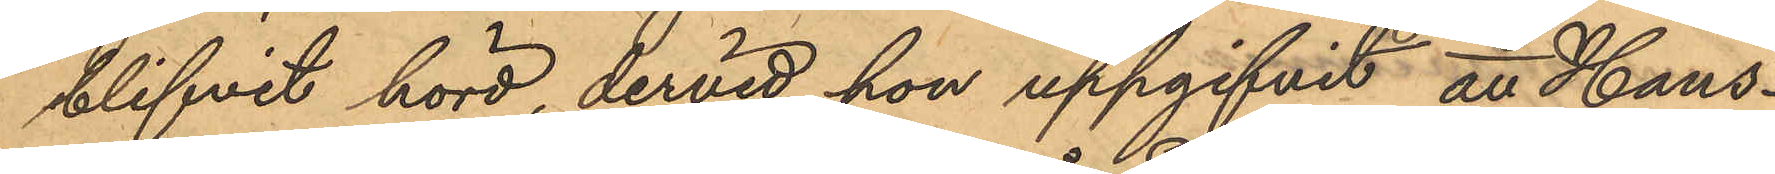blifvit hörd, dervid hon uppgifvit att Hans¬
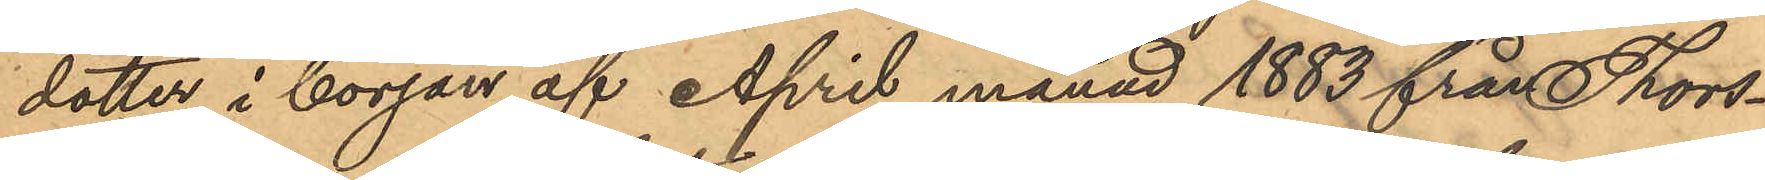dotter i början af April månad 1883 från Thors¬
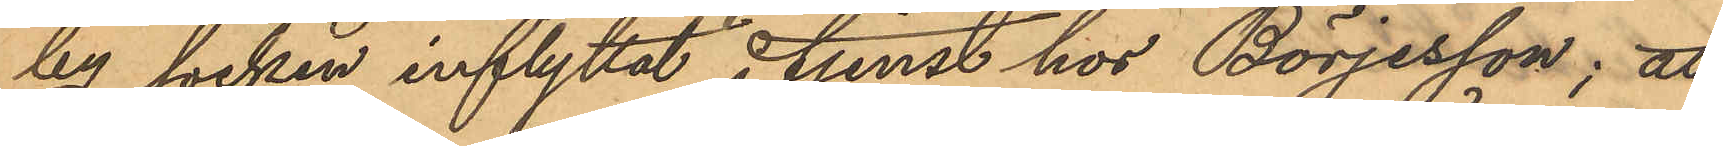by socken inflyttat i tjenst hos Börjesson; att
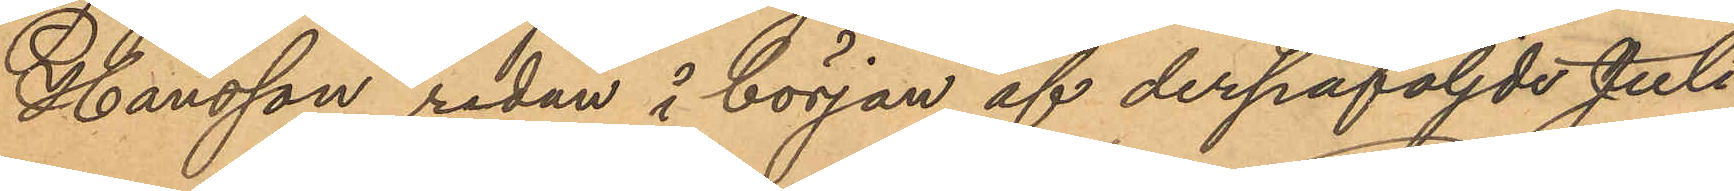Hansson redan å början af derpåföljde Juli
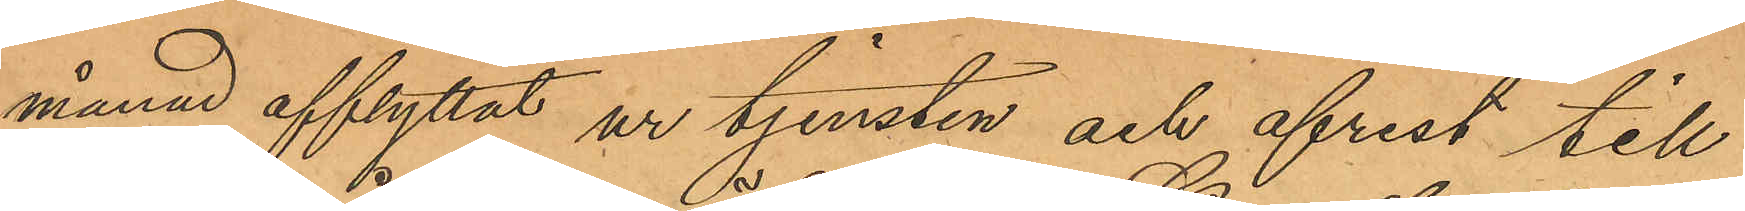månad afflyttat ur tjensten och afrest till
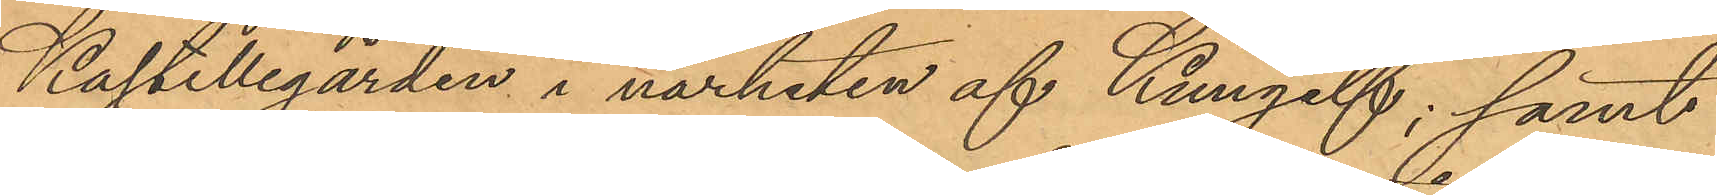Kastillegården i närheten af Kungelf; samt
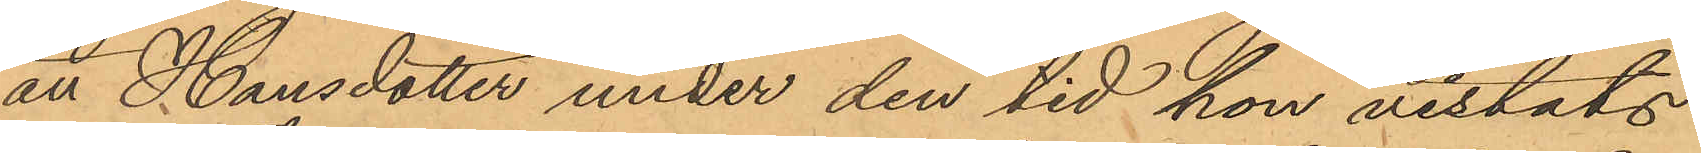att Hansdotter under den tid hon vistats
